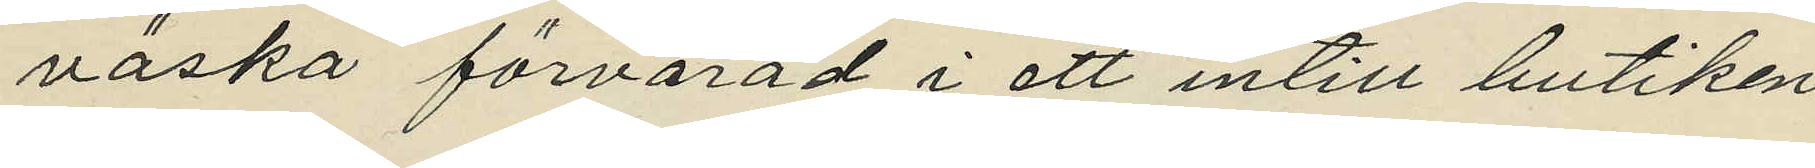väska förvarad i ett intill butiken
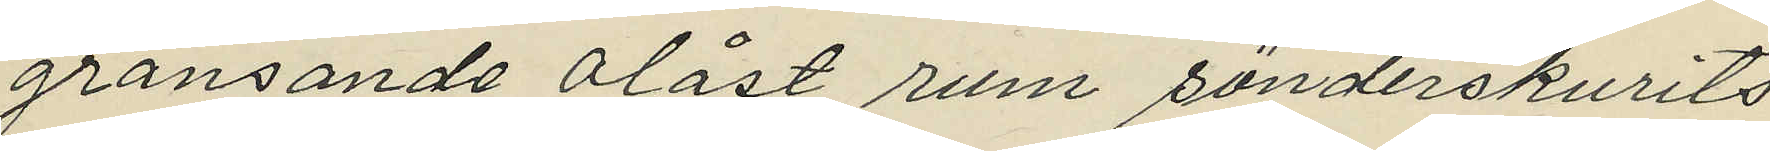gränsande olåst rum sönderskurits
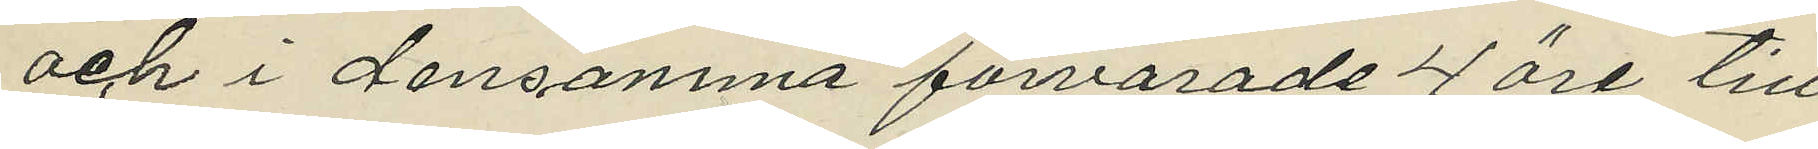och i densamma förvarade 4 öre till¬
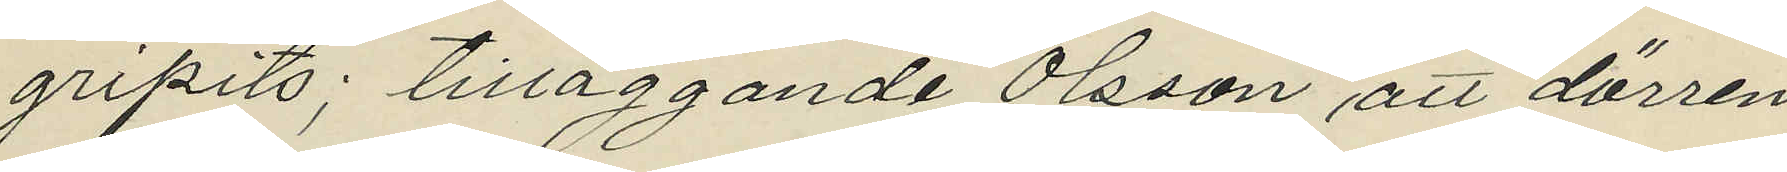gripits, tilläggande Olsson att dörren
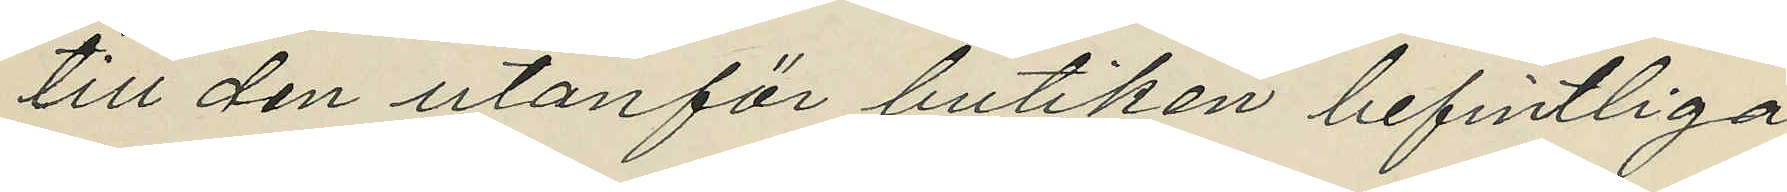till den utanför butiken befintliga
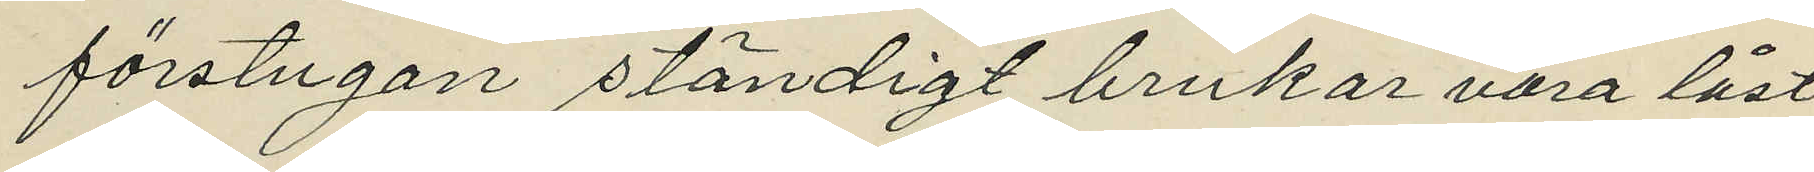förstugan ständigt brukar vara låst
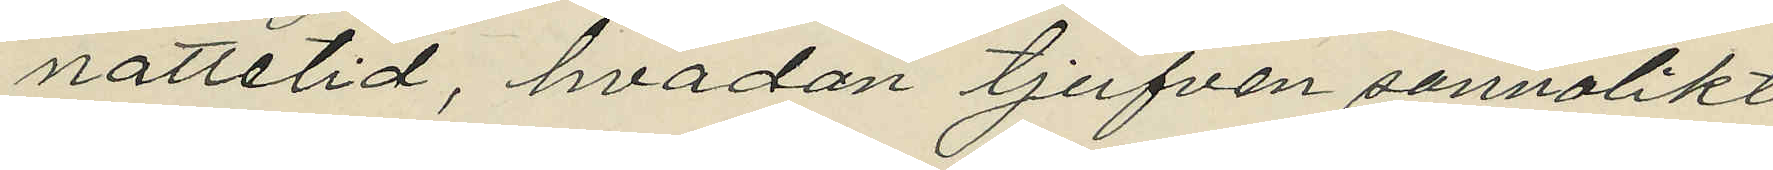nattetid, hvadan tjufven sannolikt
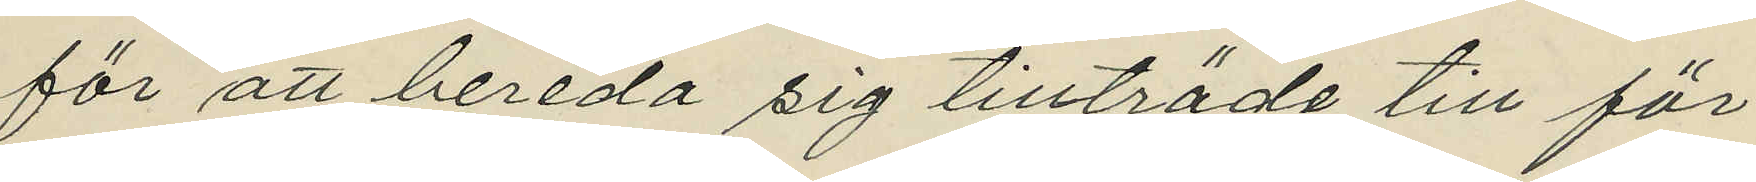för att bereda sig tillträde till för¬
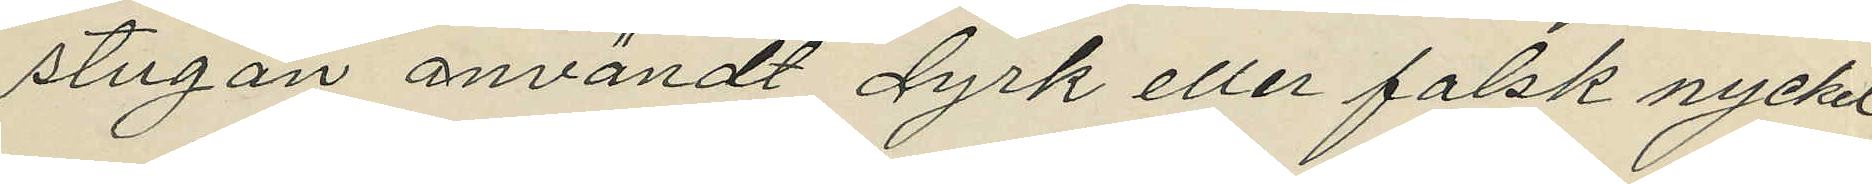stugan användt dyrk eller falsk nyckel
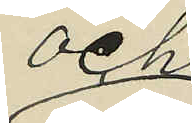och
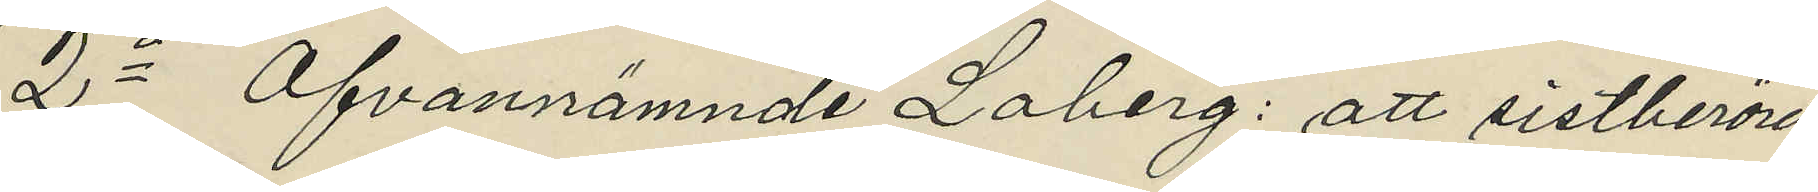2o Ofvannämnde Loberg: att sistberörde
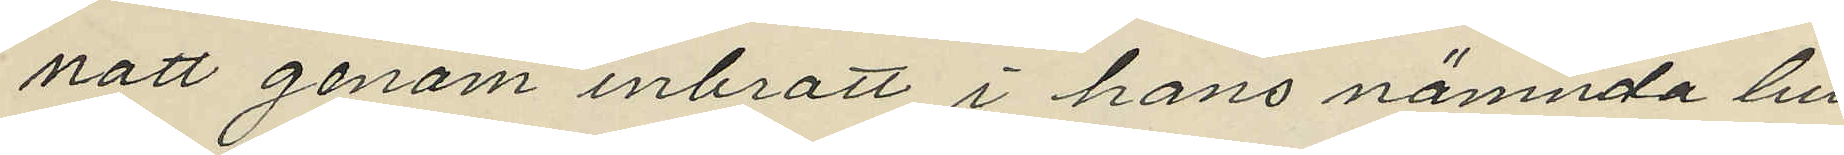natt genom inbrott i hans nämnda bu¬
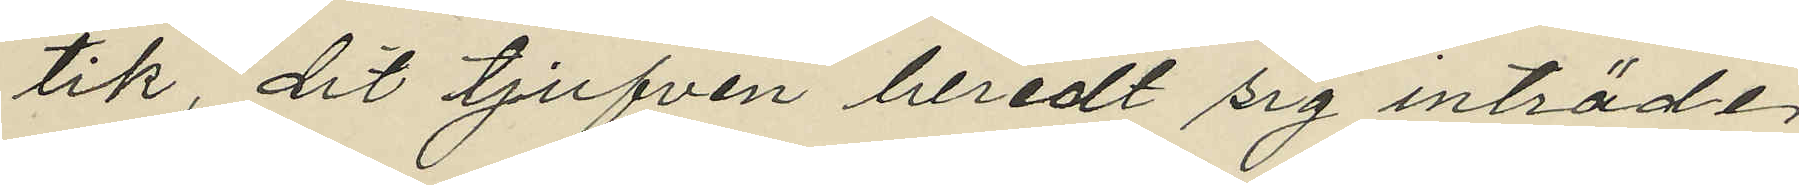tik, dit tjufven beredt sig inträde,
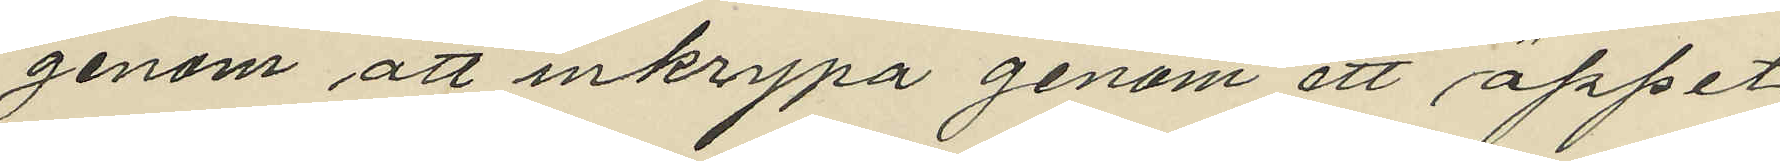genom att inkrypa genom ett öppet
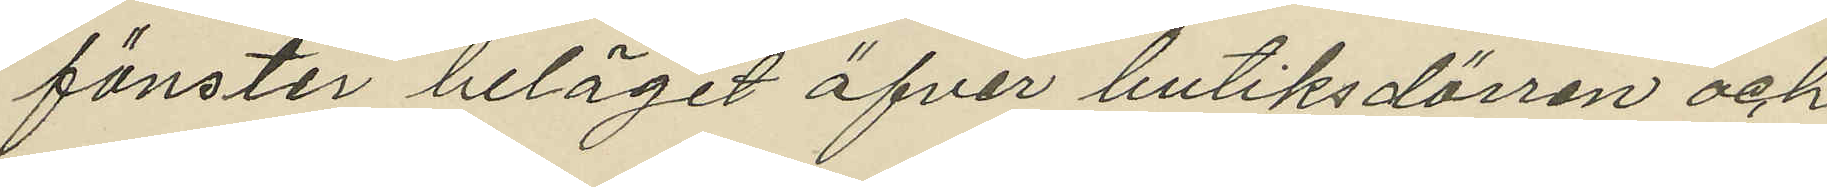fönster beläget öfver butiksdörren och
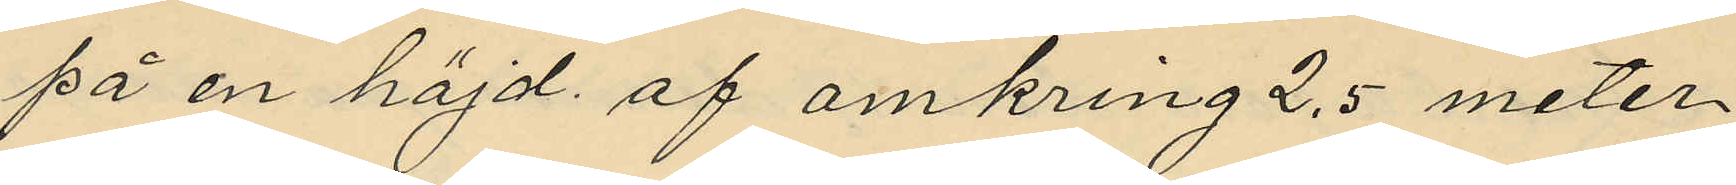på en höjd af omkring 2,5 meter
